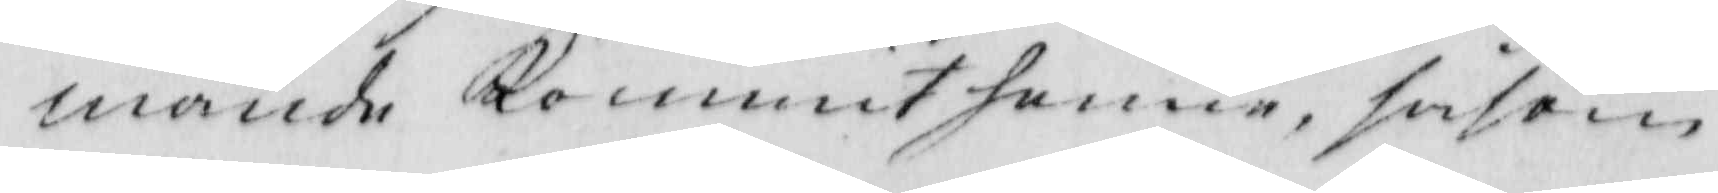mande kommit henne, såsom
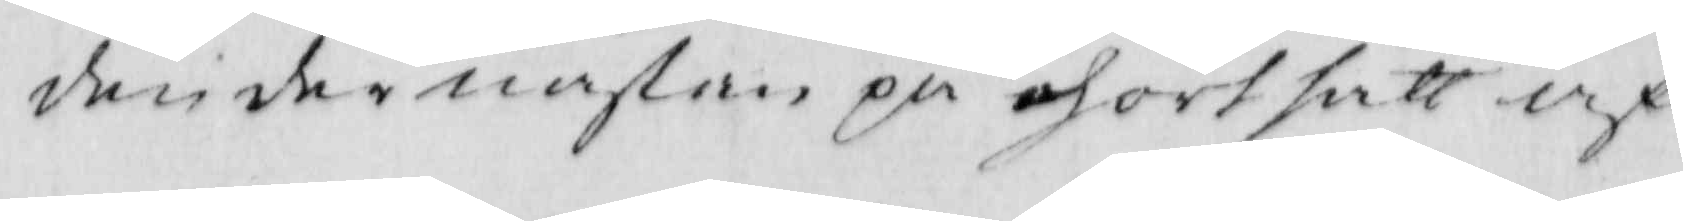den der nästan på ohört sätt af
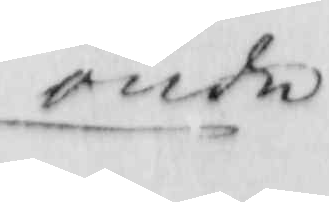onde
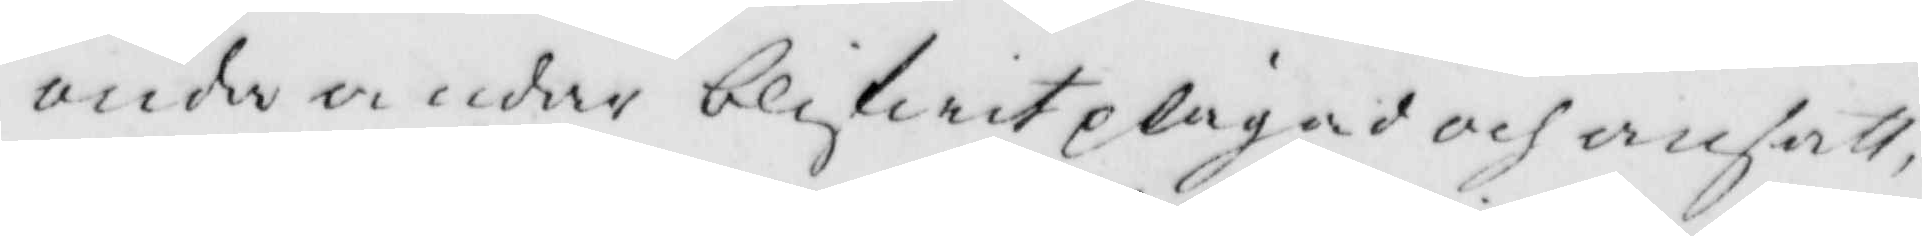onda andar blifwit plågad och ansatt,
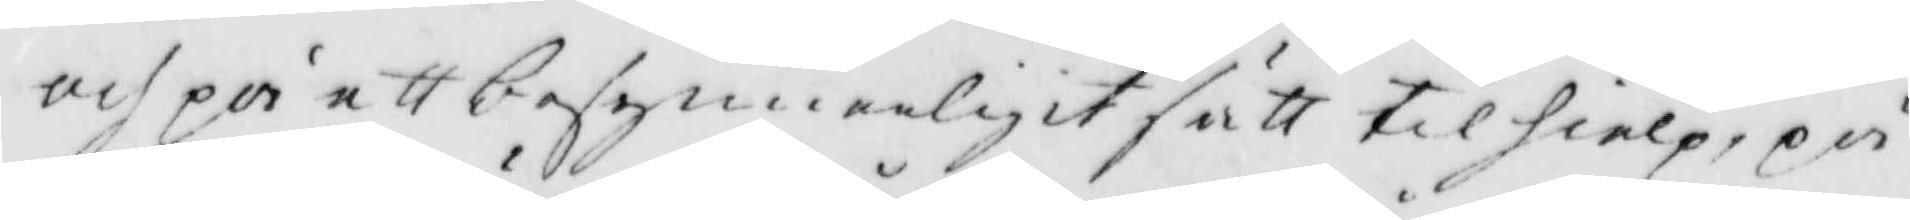och på ett besynnerligit sätt tilhielp, på
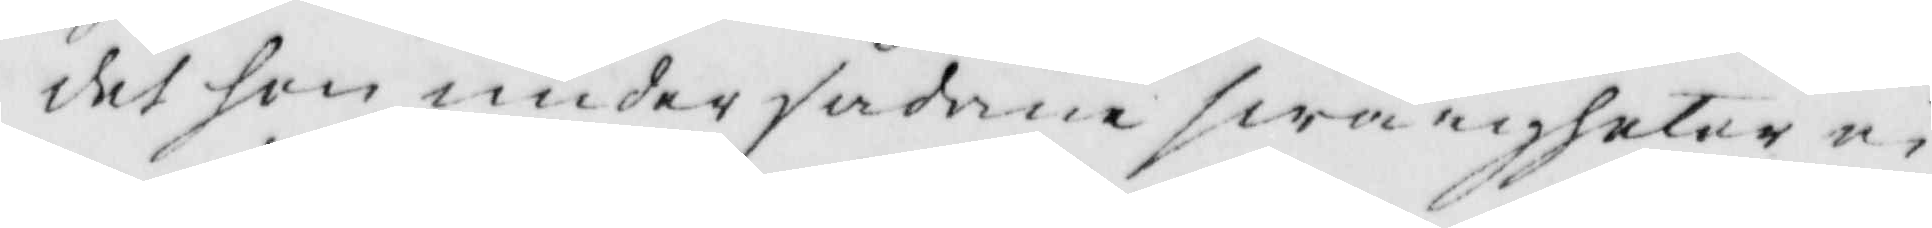det hon under sådane swårigheter ei
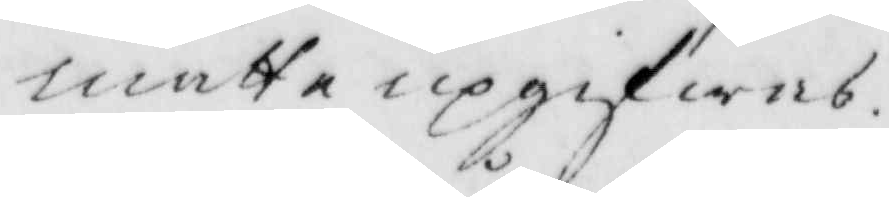måtte upgifwes.
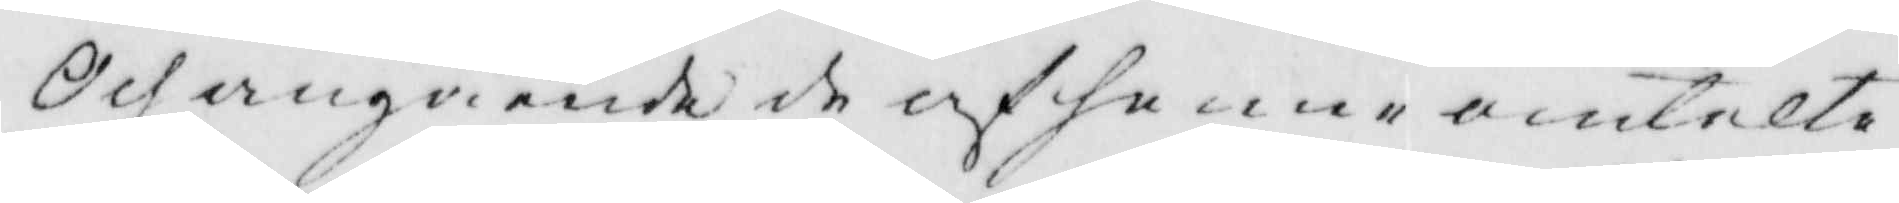och angående de af henne omtalte
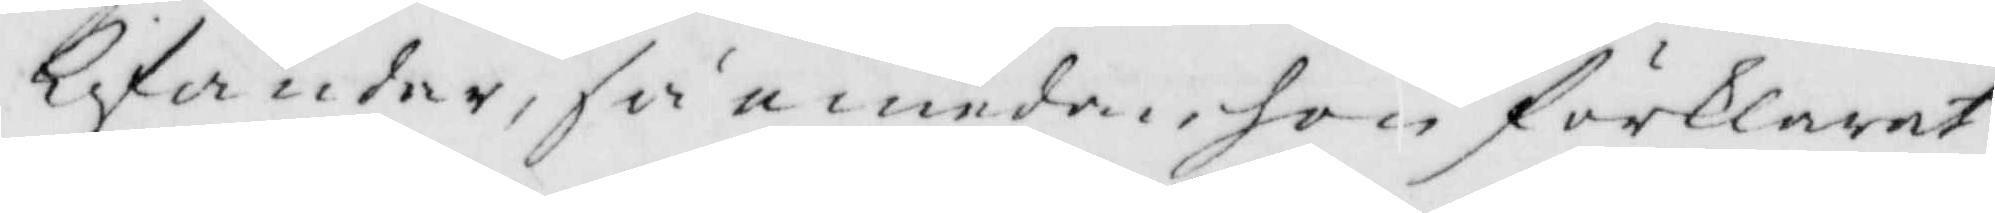lifandar, så emedan hon förklarat
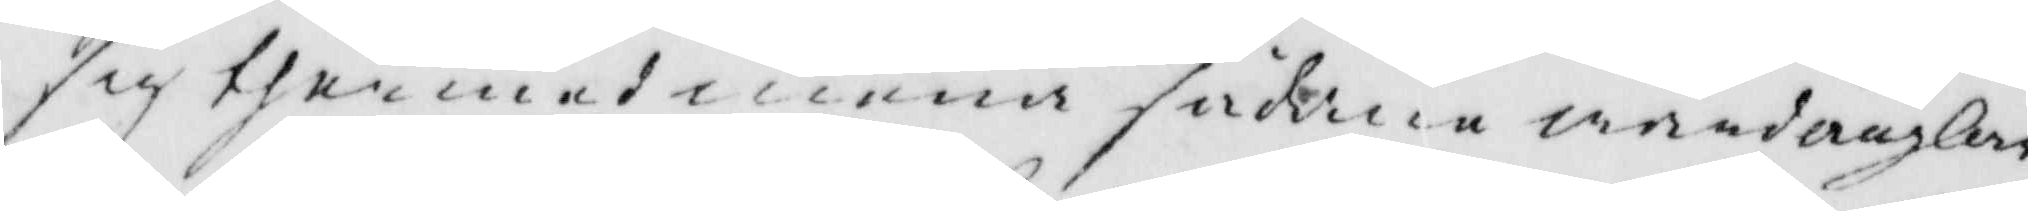sig thermed mena sådane wårdänglar
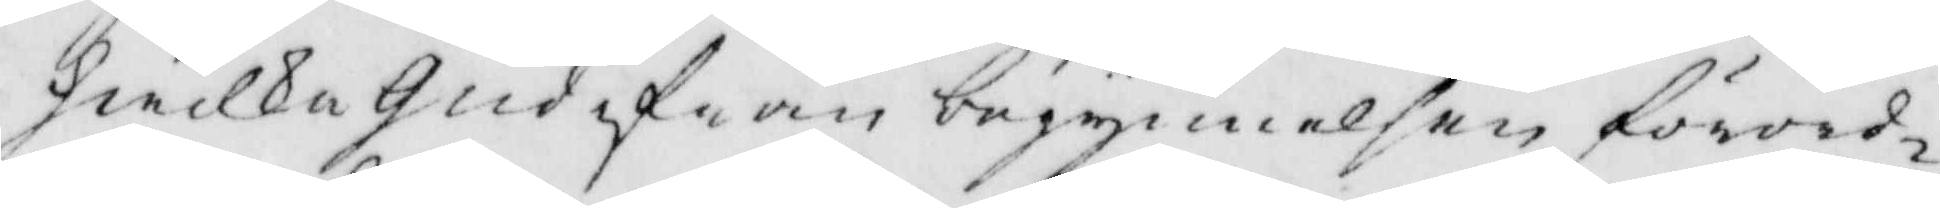hwilka Gud ifrån begynnelsen förord¬
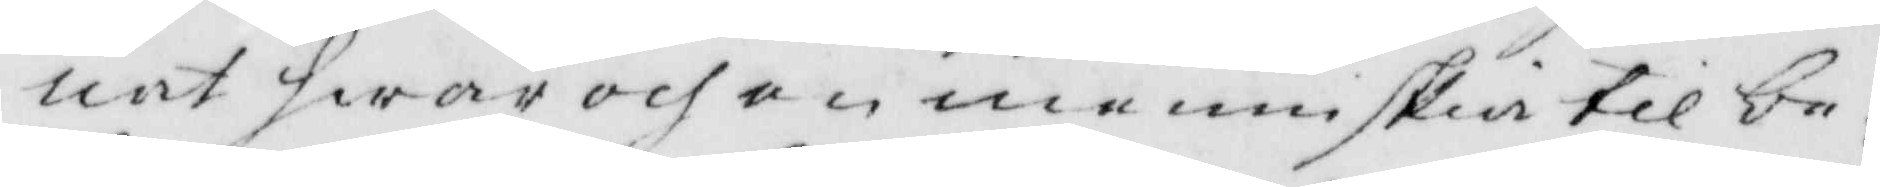nat hwar och en menniskia till be¬
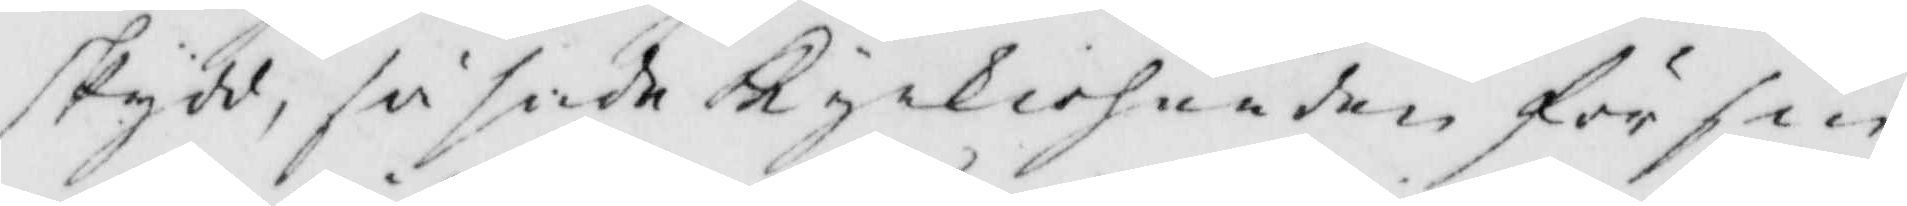skydd, så sade Kyrkioherden för sin
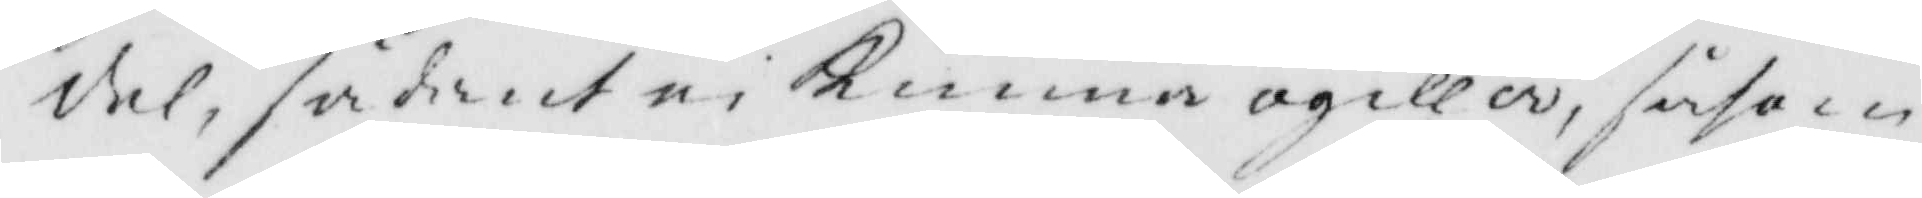del, sådant ei Kunna ogilla, såsom
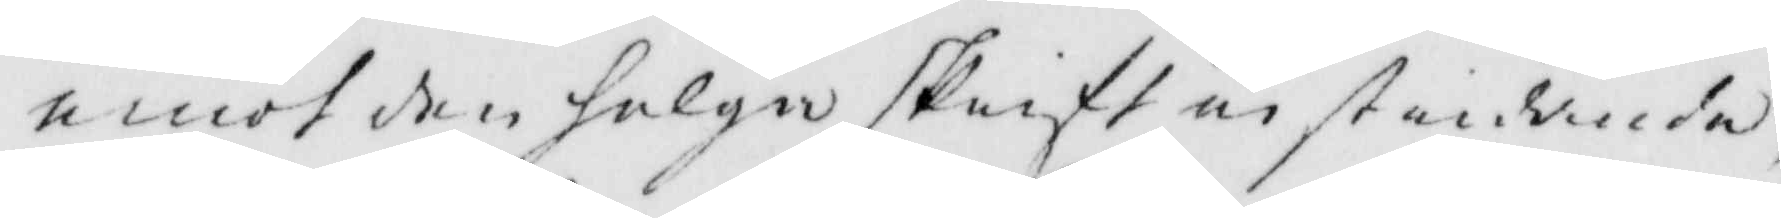emot den helga skrift instundande,
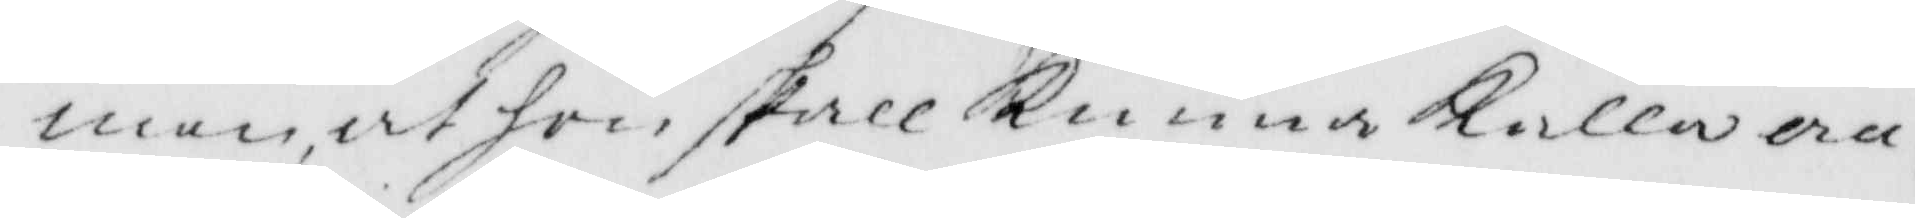men, at hon skall Kunna Kalla an¬
